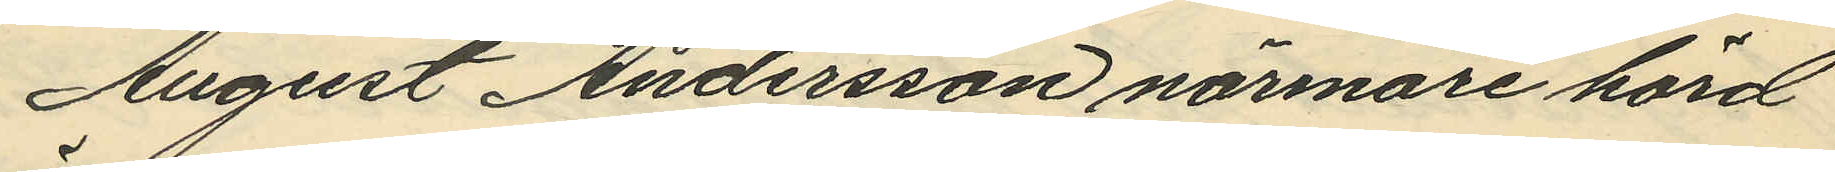August Andersson närmare hörd
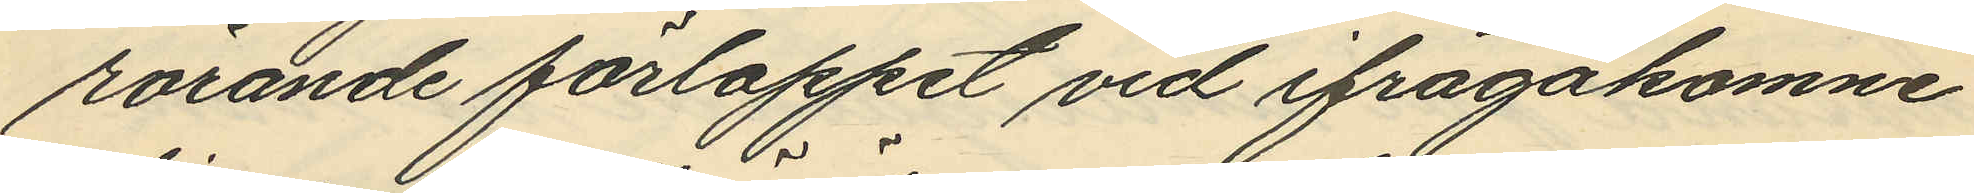rörande förloppet vid ifrågakomne
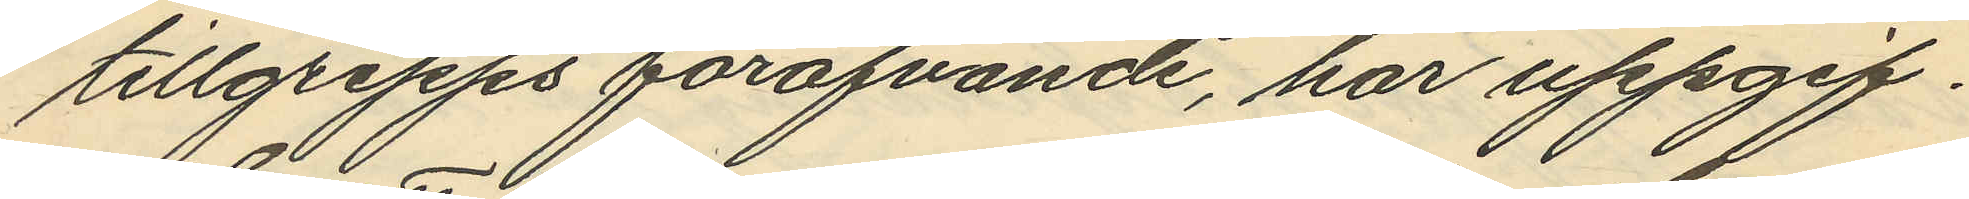tillgrepps föröfvande, har uppgif¬
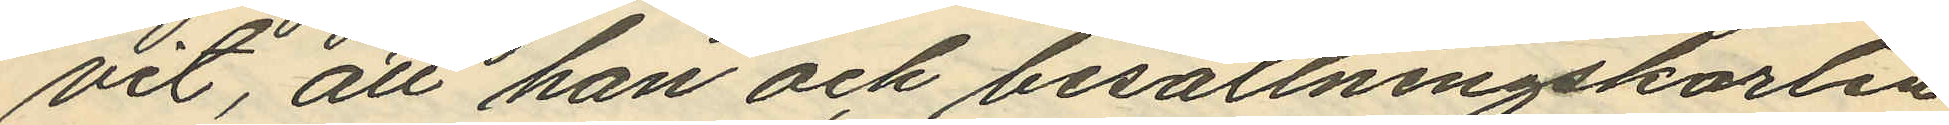vit, att han och besättningskarlen
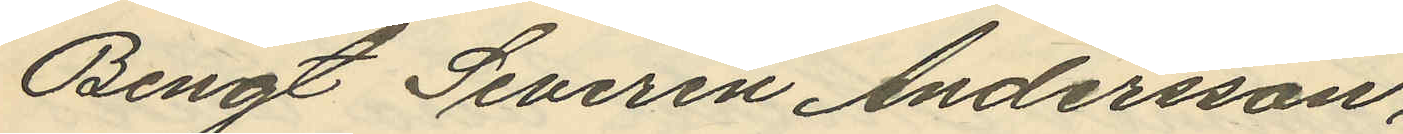Bengt Severin Andersson,
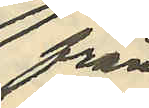från
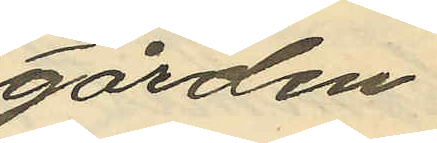gården
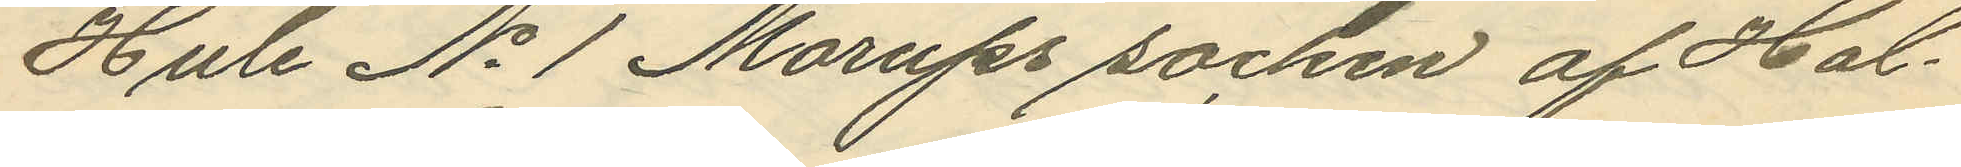Hule No 1 Morups socken af Hal¬
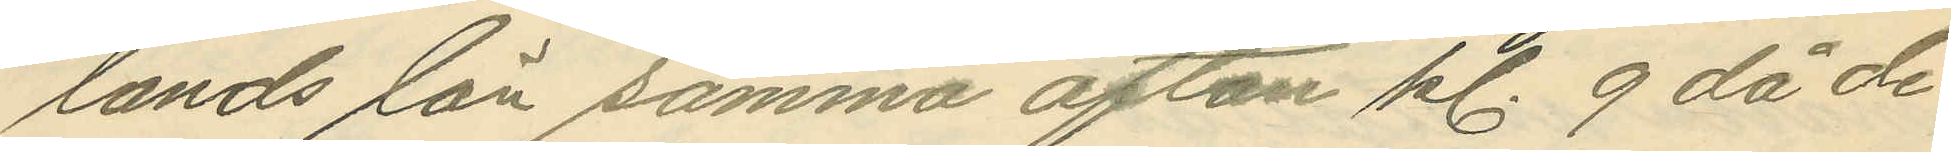lands län samma afton kl. 9 då de
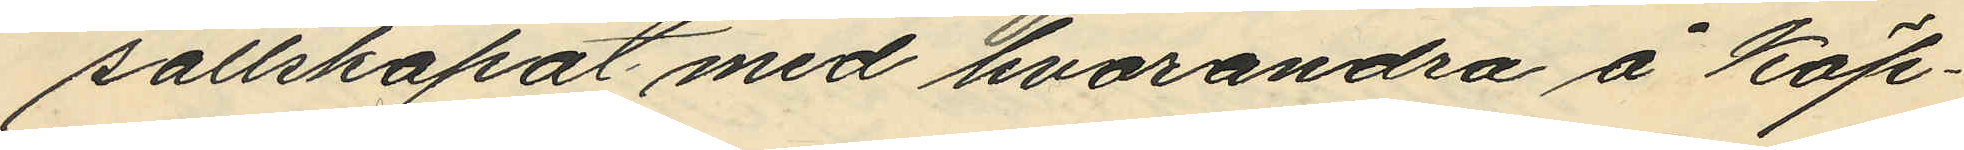sällskapat med hvarandra å Köp¬
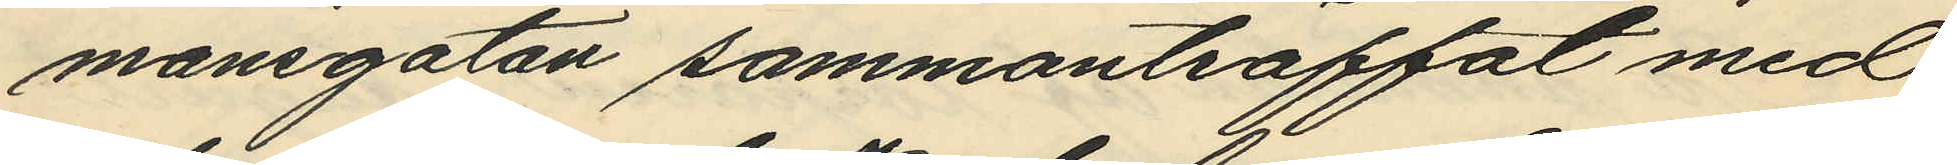mansgatan sammanträffat med
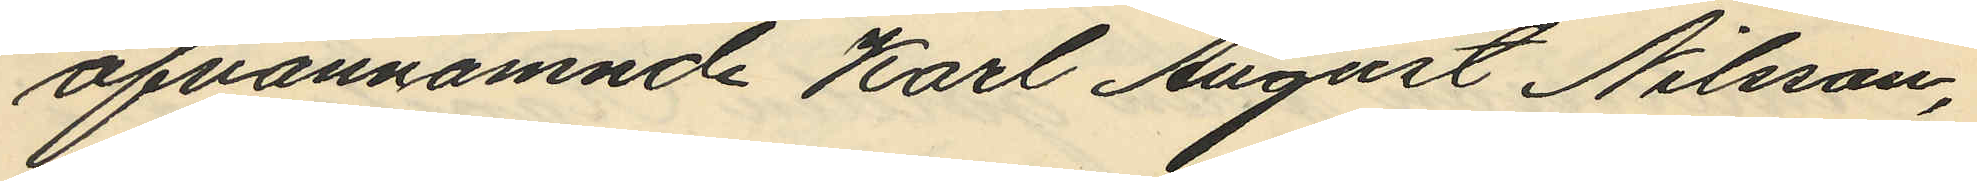ofvannämnde Karl August Nilsson,
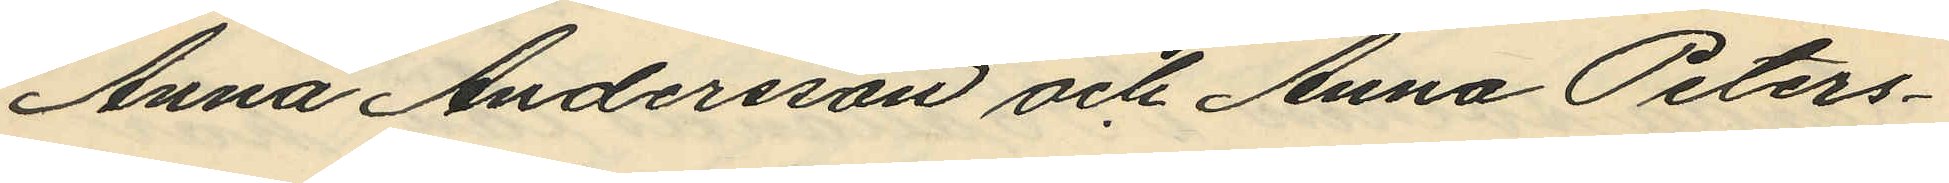Anna Andersson och Anna Peters¬
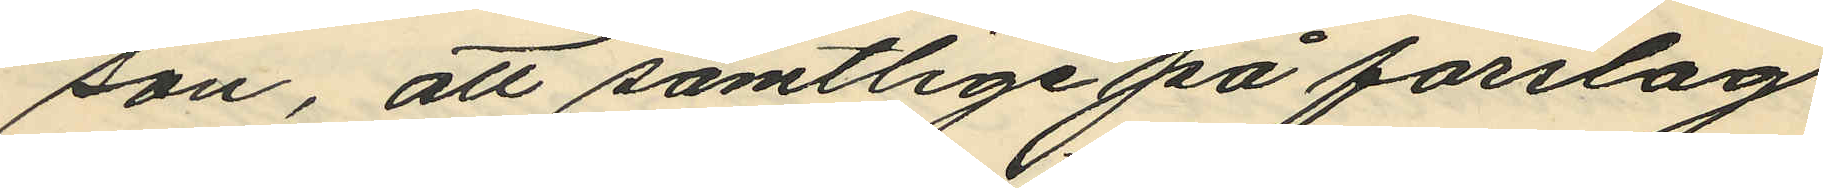son, att samtlige på förslag
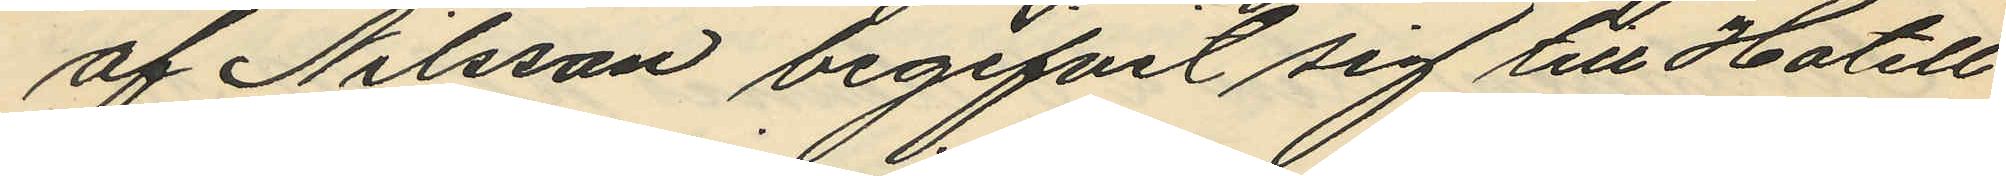af Nilsson begifvit sig till Hotell
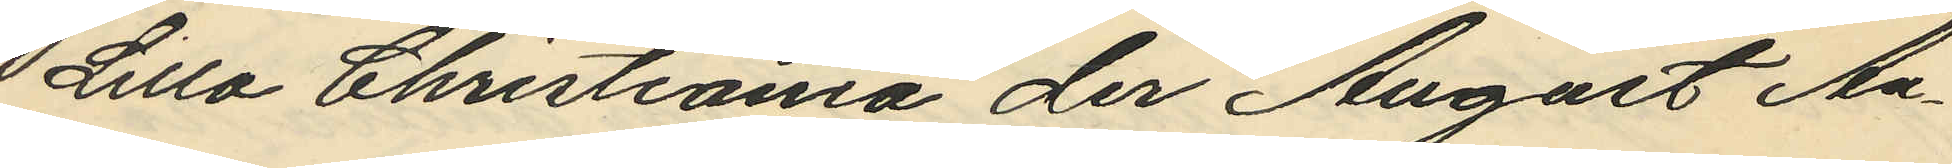Lilla Christiania der August An¬
